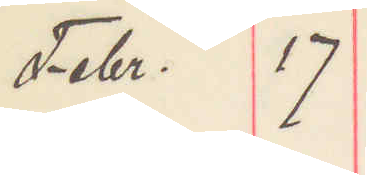Febr. 17
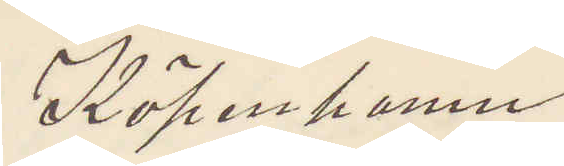Köpenhamn
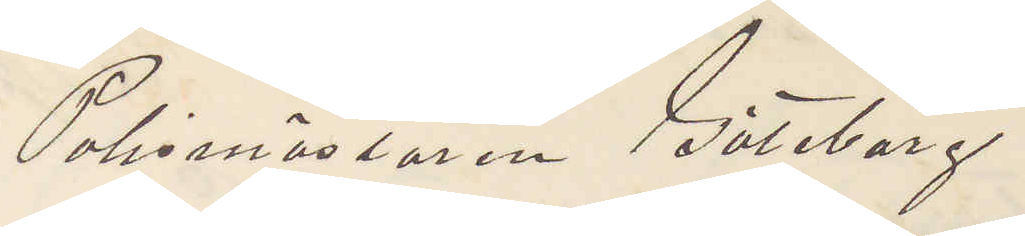Polsmästaren Göteborg
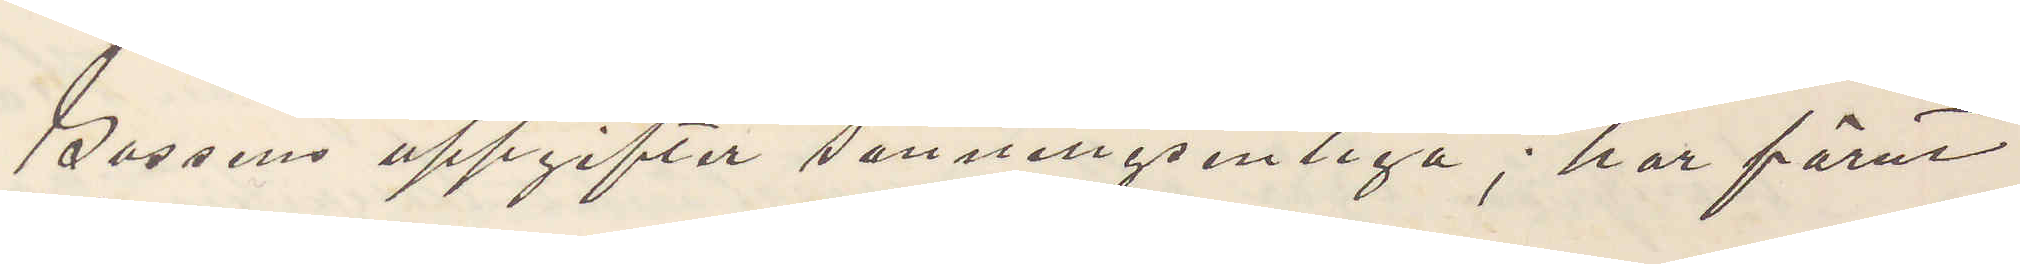Gossens uppgifter senningsenliga; har förut
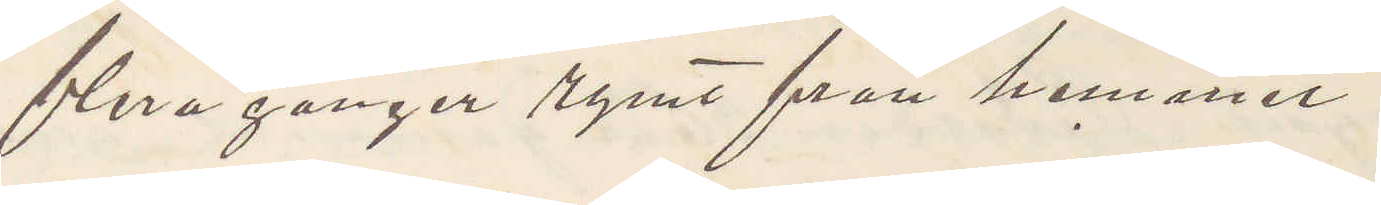flera gånger rymt från hemmet.
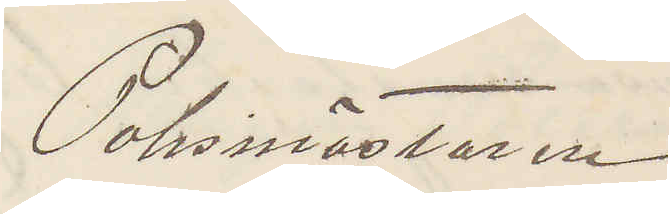Polismästaren
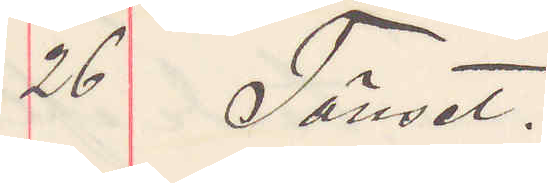26 Tönset.
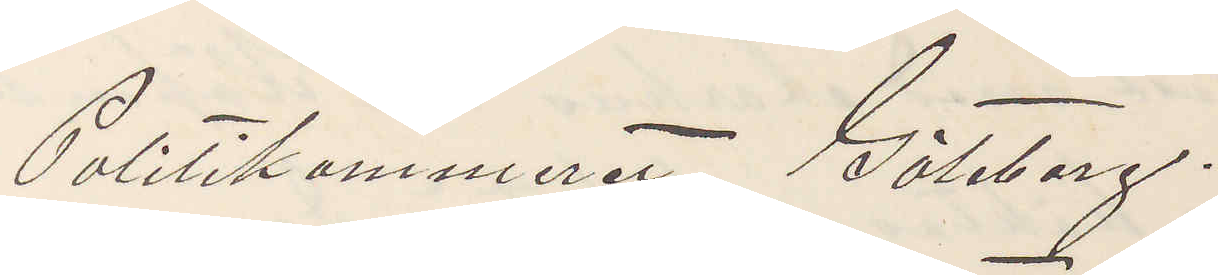Politikammaret Göleborg.
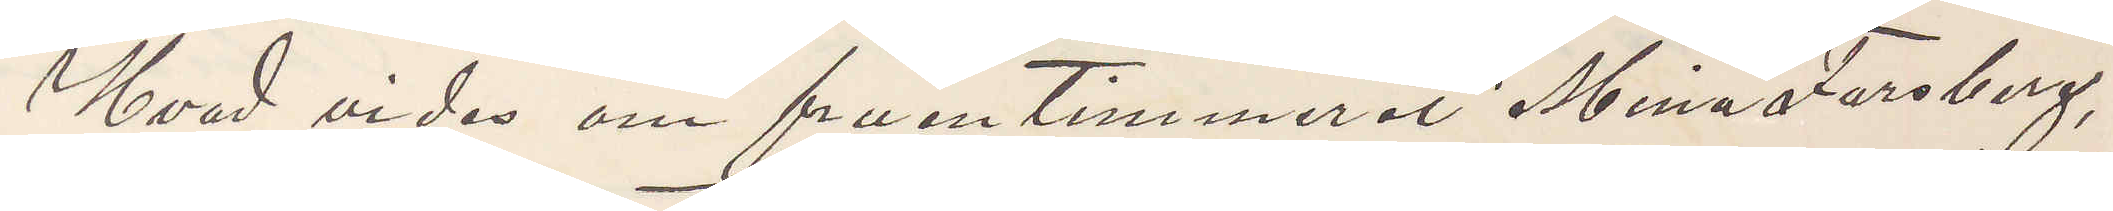Hvad vides om fruntimmeret Mina Forsberg,
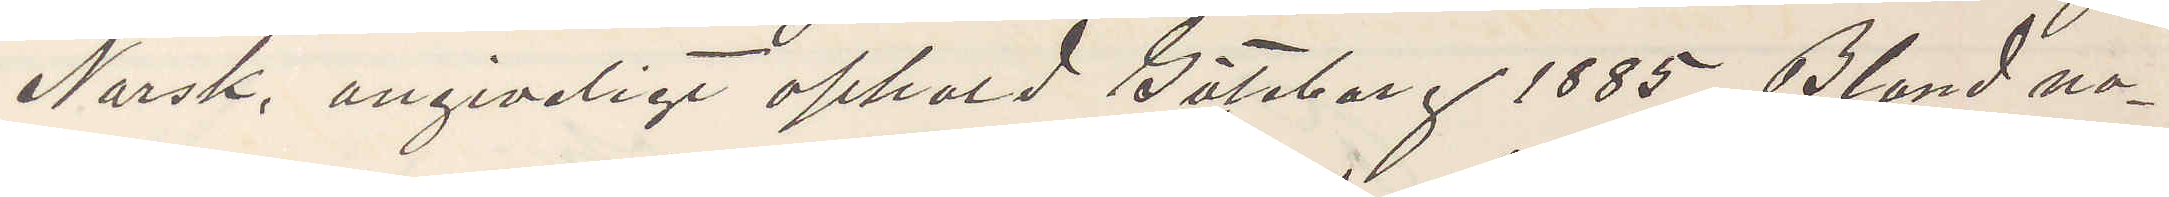Norsk, angiveligt ophold Göteborg 1885. Bland no¬
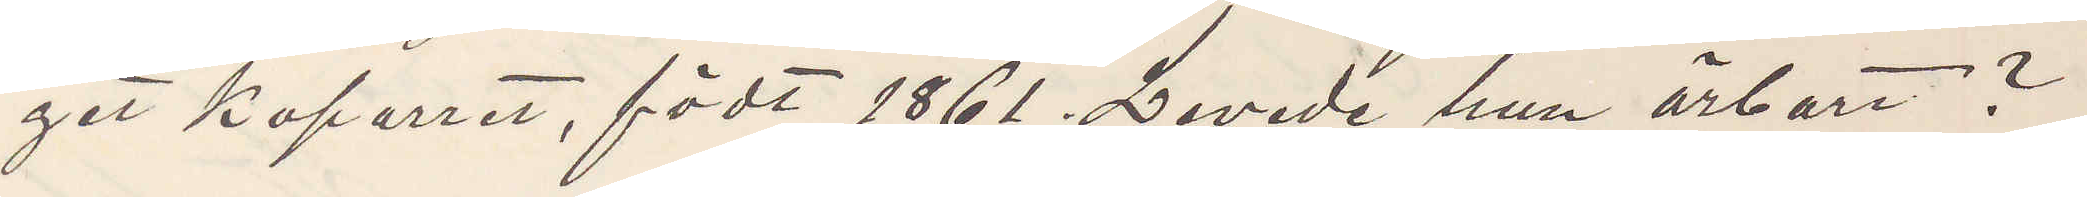get kaporret, födt 1861. Levede hun ärbart?
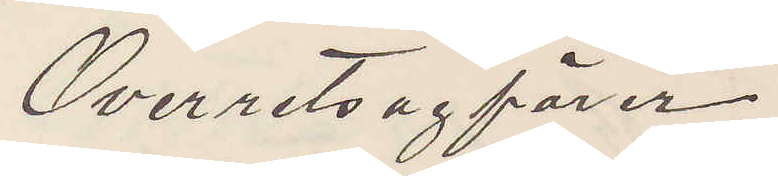Overretsagförer
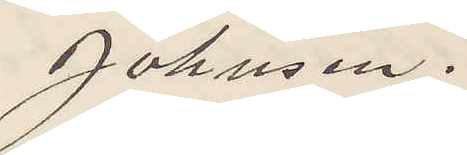Johnsen.
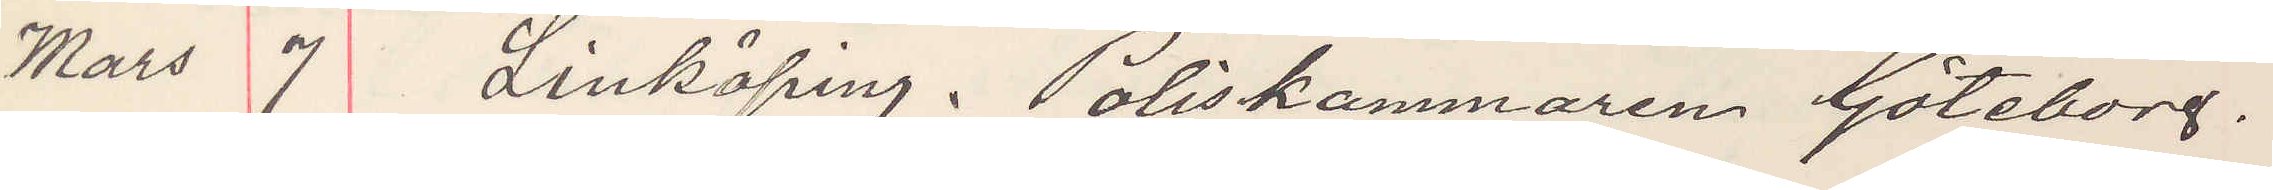Mars 7 Linköping. Poliskammaren Göteborg.
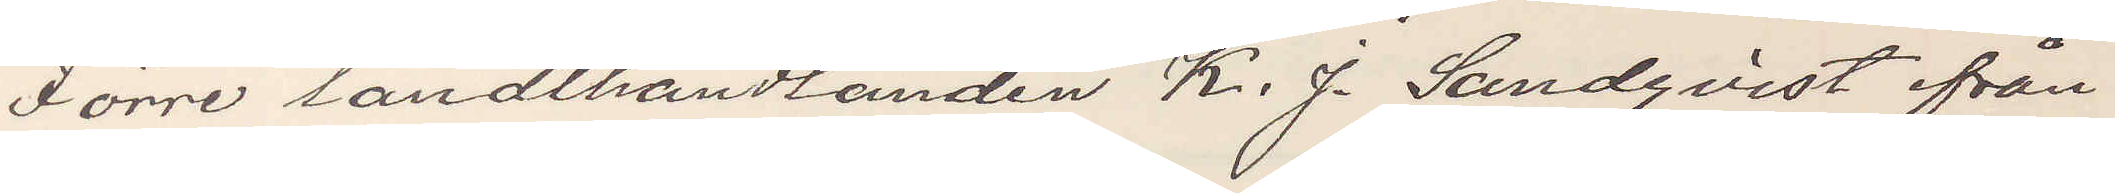Förre landthandlanden K. J. Sundqvist från
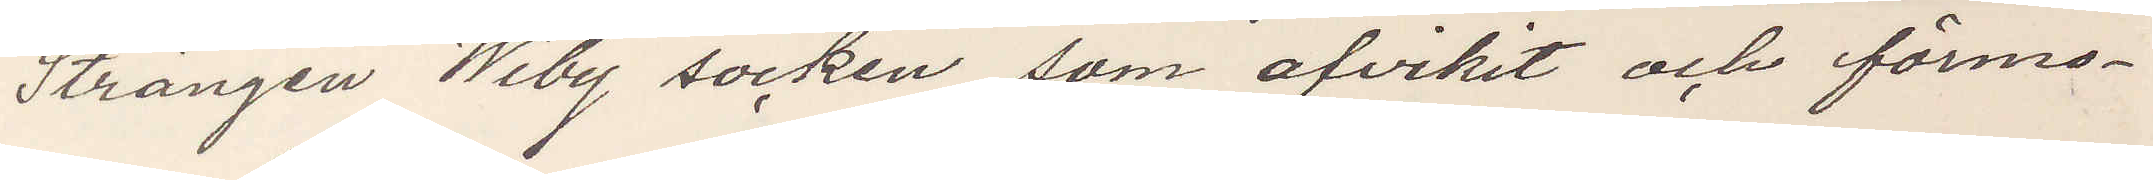Strängen Wiby socken som afvikit och förmo¬
